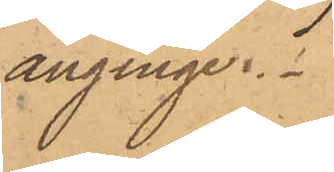anginge.
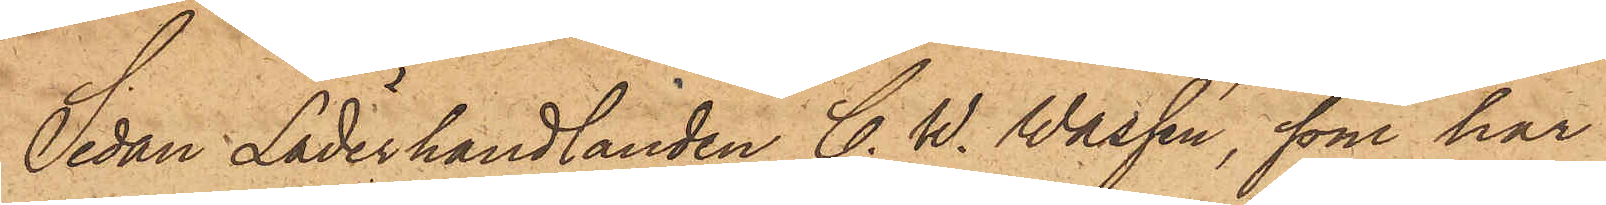Sedan Läderhandlanden C. W. Wassén, som har
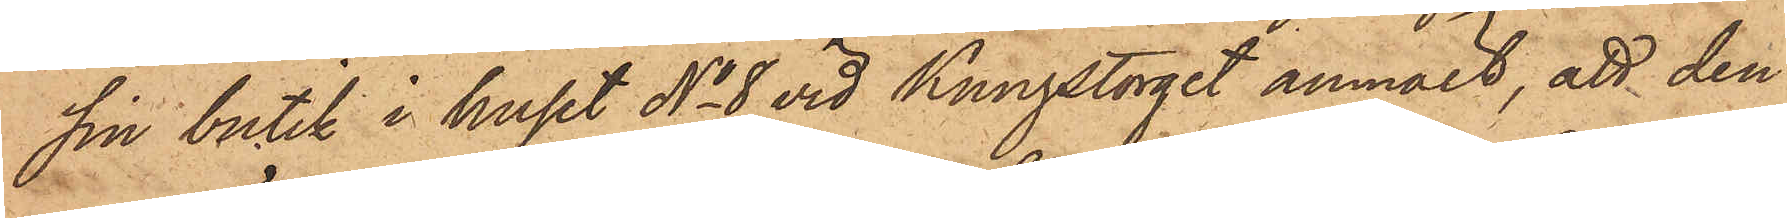sin butik i huset No 8 vid Kungstorget anmält, att den
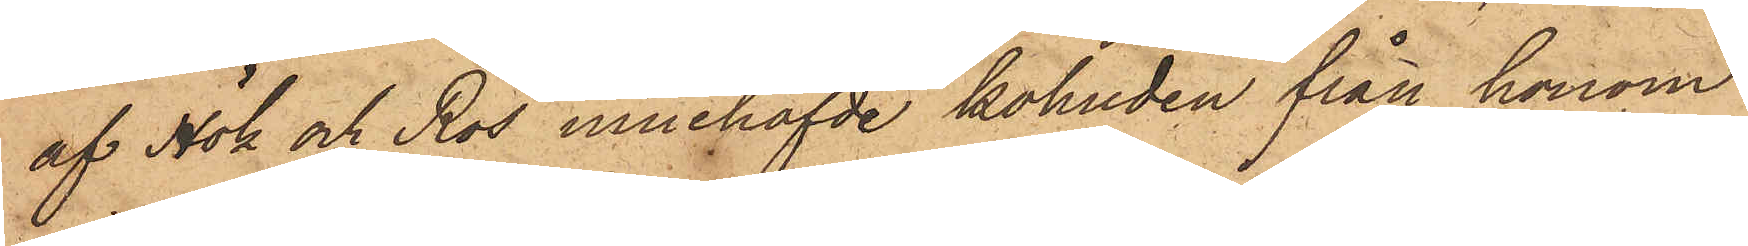af Hök och Ros innehafvde kohuden från honom
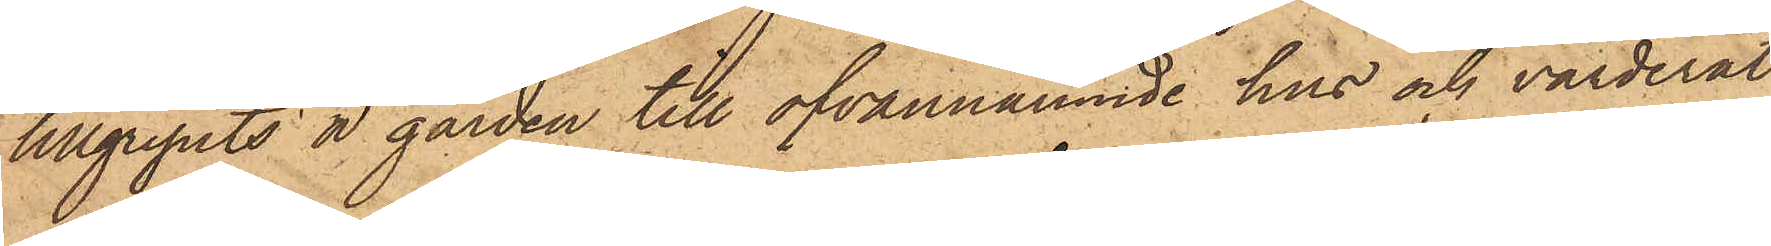tillgripits å gården till ofvannämnde hus och värderat
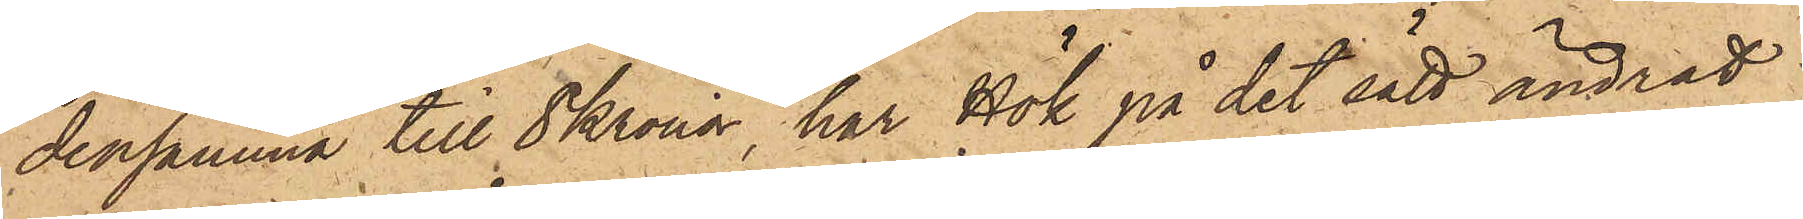densamma till 8 Kronor, har Hök på det sätt ändrat
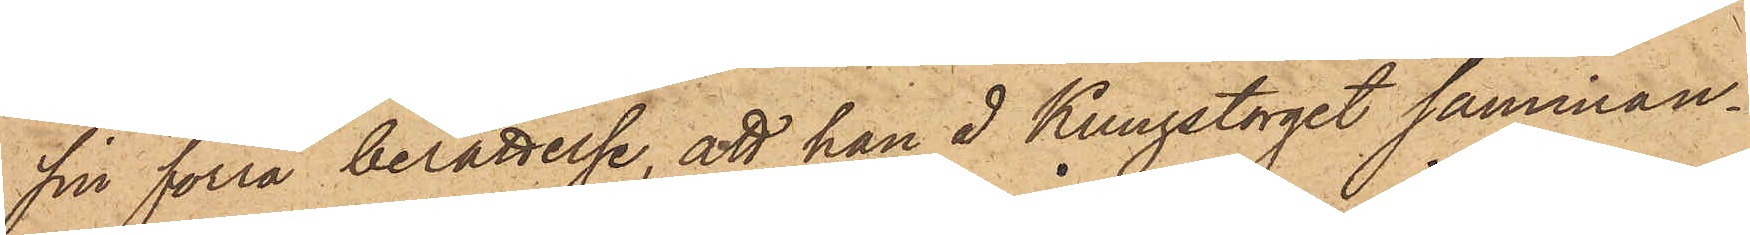sin förra berättelse, att han å Kungstorget samman¬
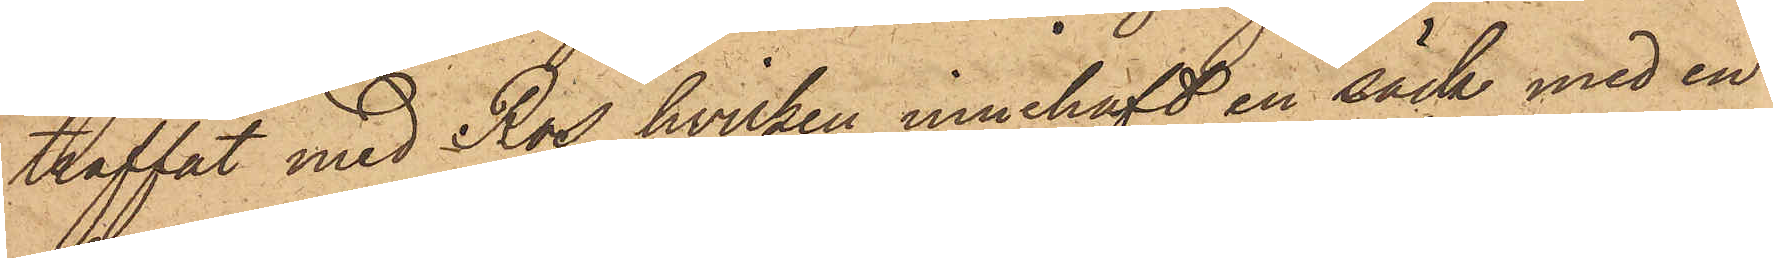träffat med Ros, hvilken innehaft en säck med en
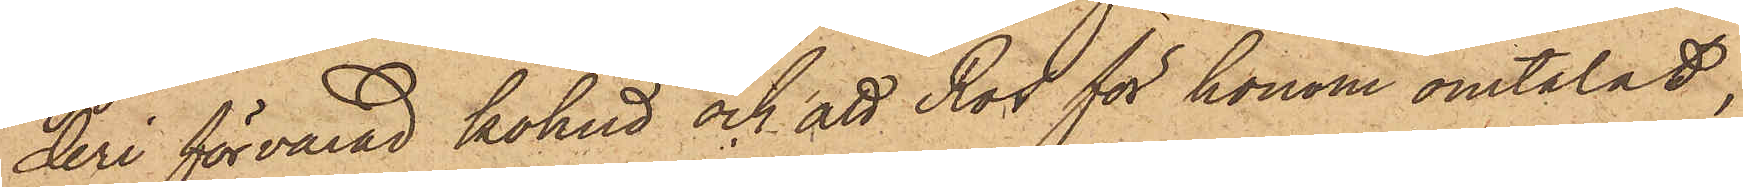deri förvarad kohud och att Ros för honom omtalat,
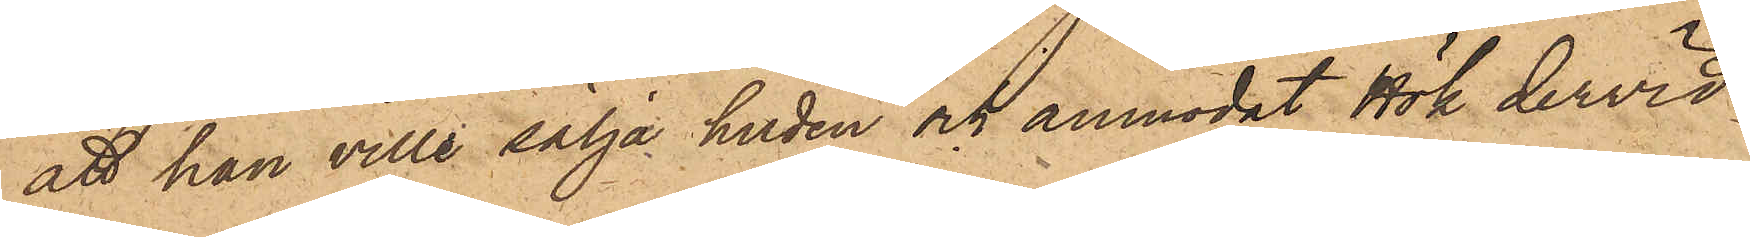att han ville sälja huden och anmodat Hök dervid
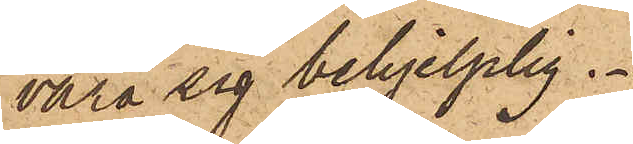vara sig behjelplig.
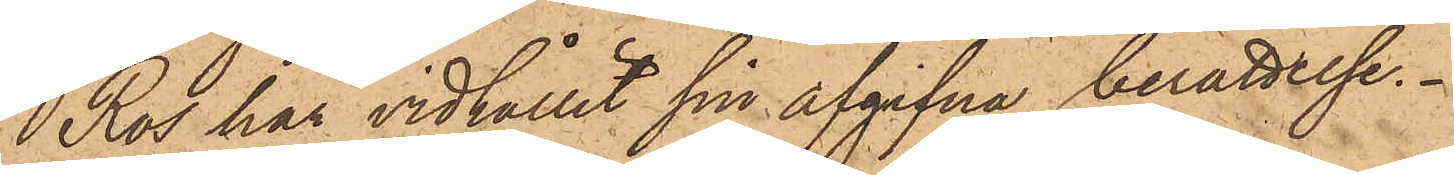Ros har vidhållit sin afgifna berättelse.
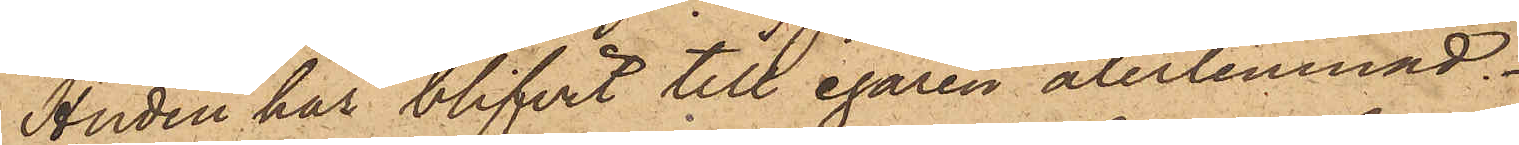Huden har blifvit till egaren återlemnad.
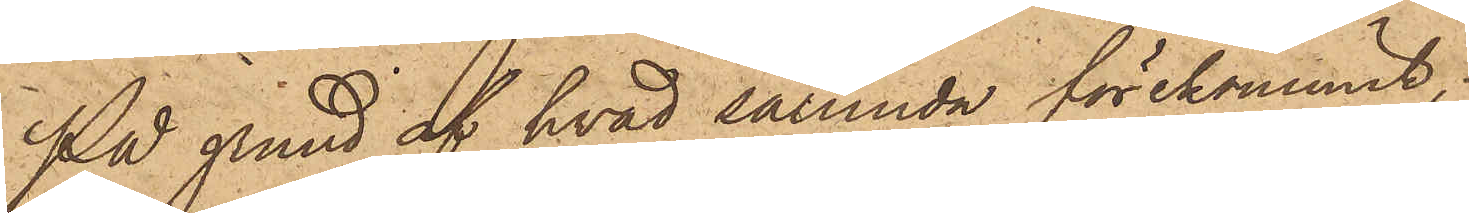På grund af hvad sålunda förekommit,
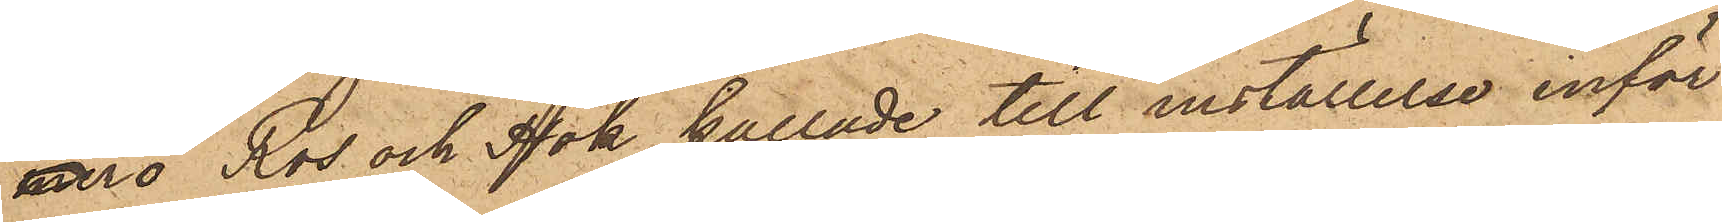äro Ros och Hök kallade till inställelse inför
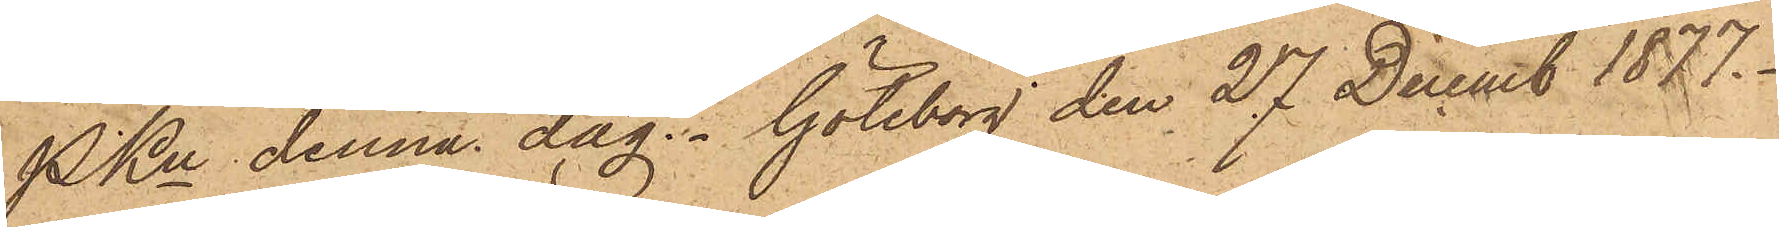PKn denna dag. Göteborg den 27 Decemb 1877.
